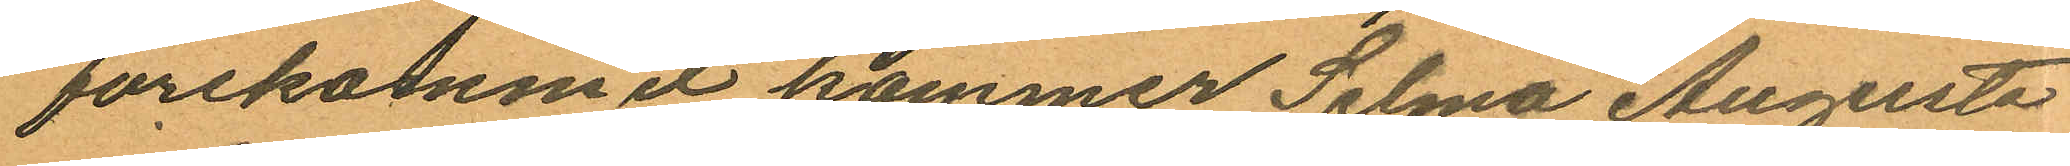forekommit, kommer Selma Augusta
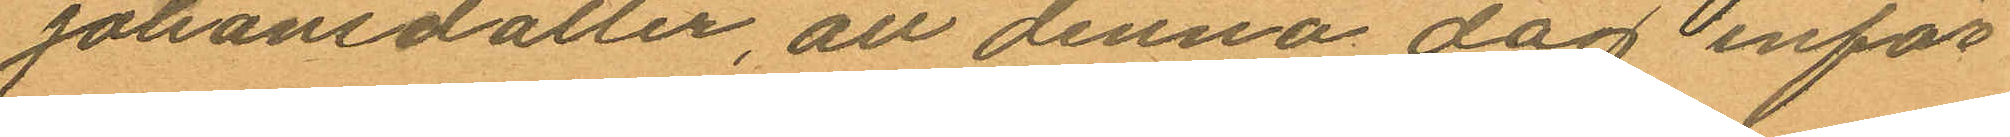Johansdotter, att denna dag inför
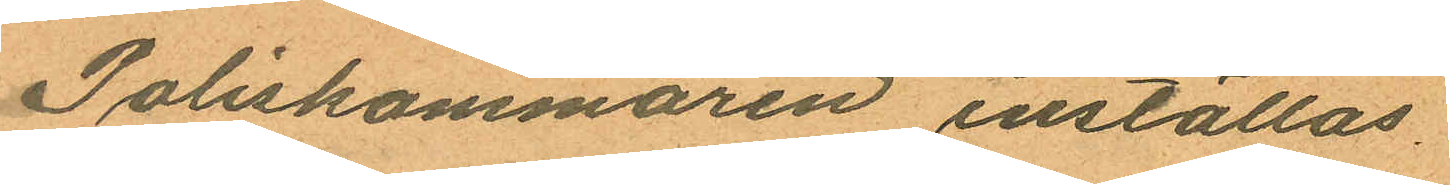Poliskammaren inställas.
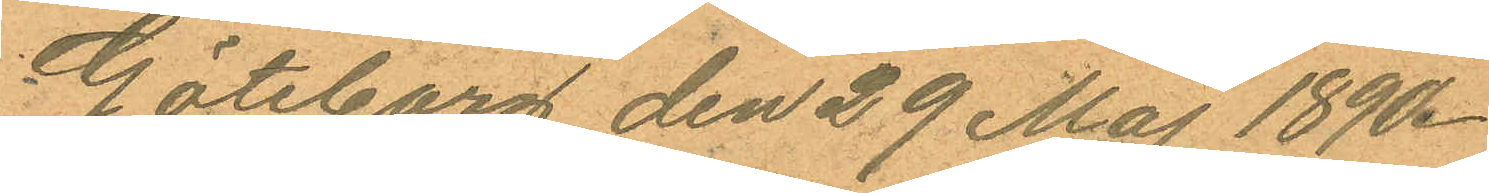Göteborg den 29 Maj 1890.
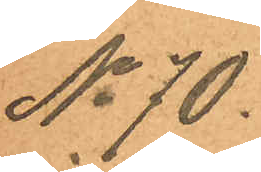No 70.
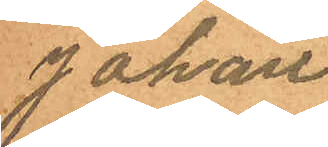Johan
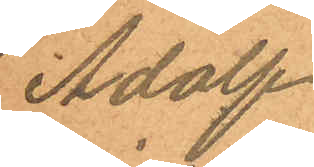Adolf
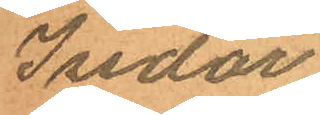Isidor
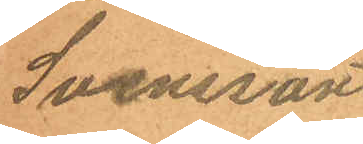Svensson
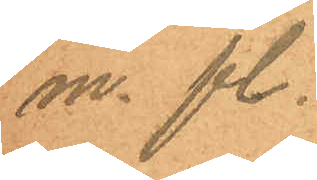m. fl.
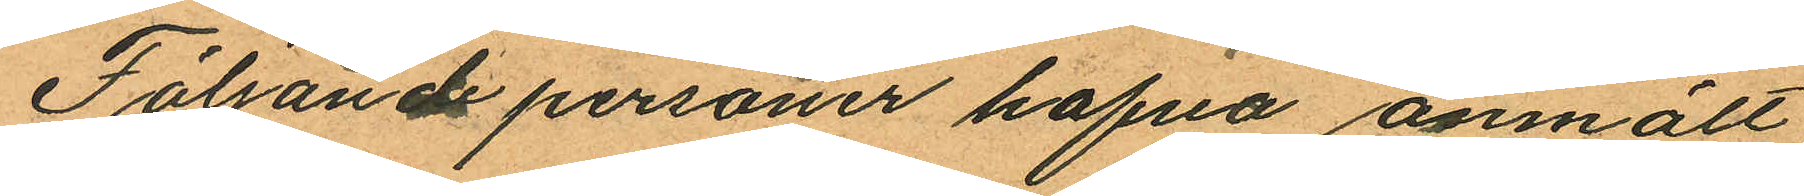Följande personer hafva anmält
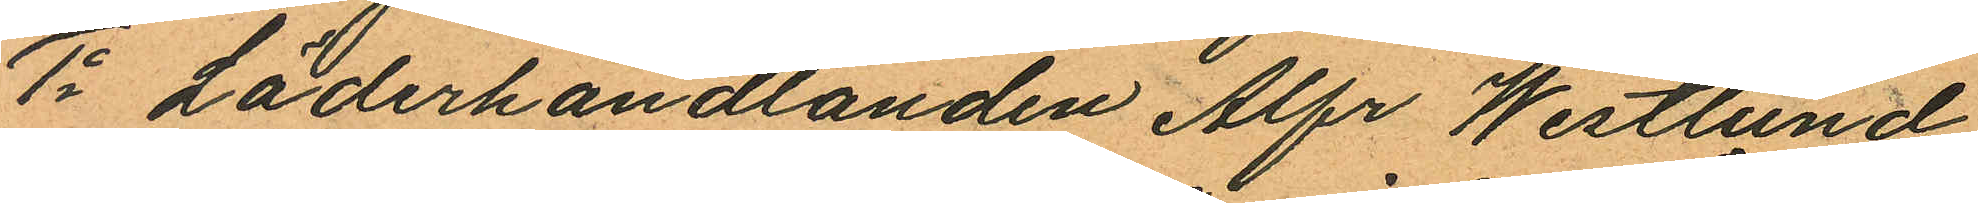1o Läderhandlanden Alfr Westlund
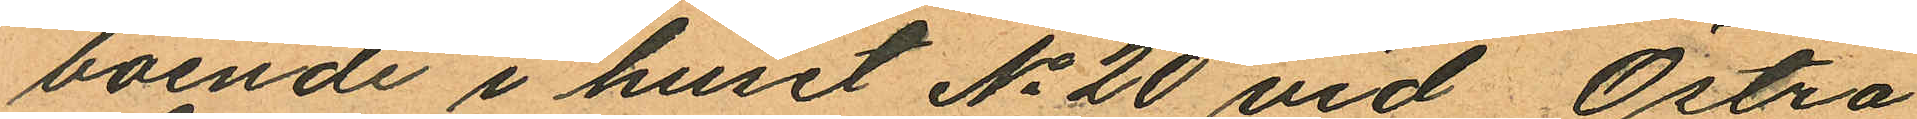boende i huset No 20 vid Östra
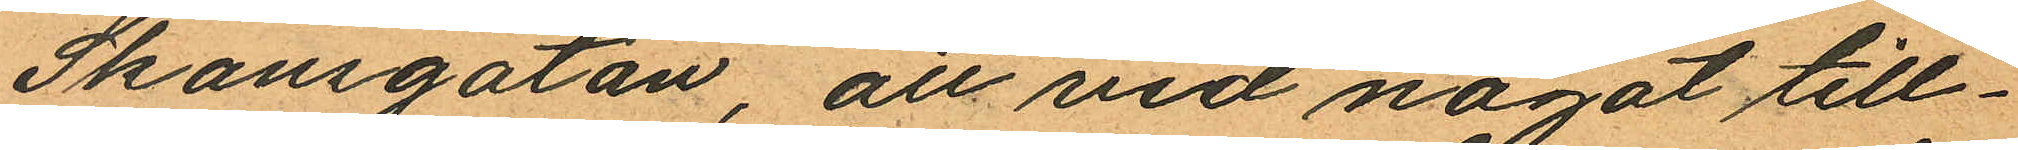Skansgatan, att vid något till¬
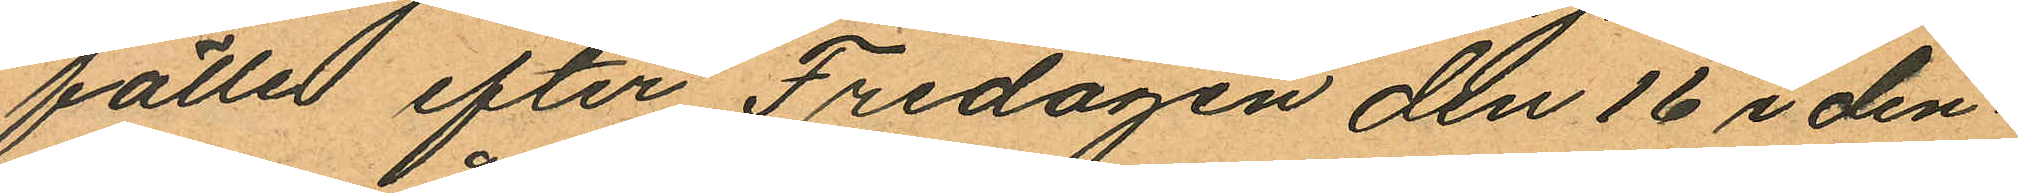fälle efter Fredagen den 16 i den¬
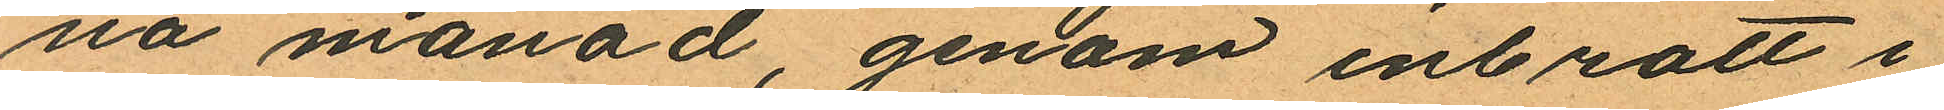na månad genom inbrott i
